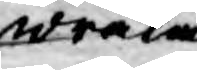wräka
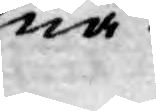nå¬
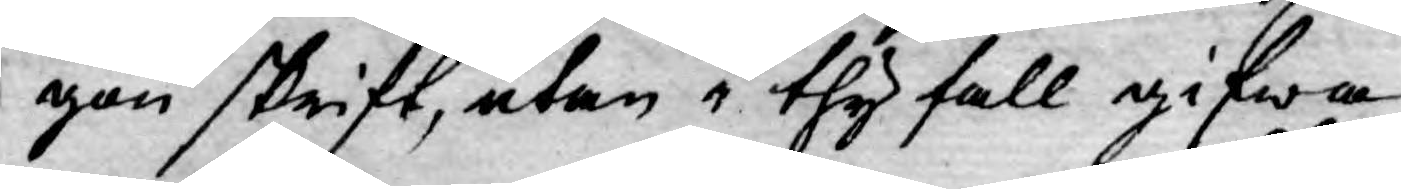gon skrift, utan i thy fall gifwa
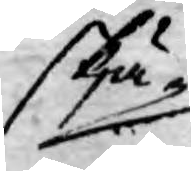skjä¬
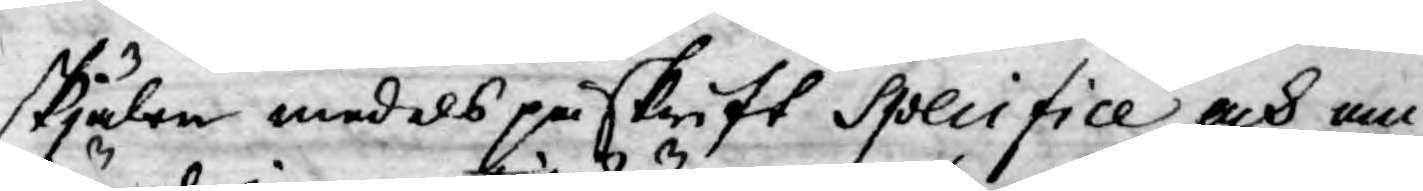skjälen medels påskrift Specifice och om-
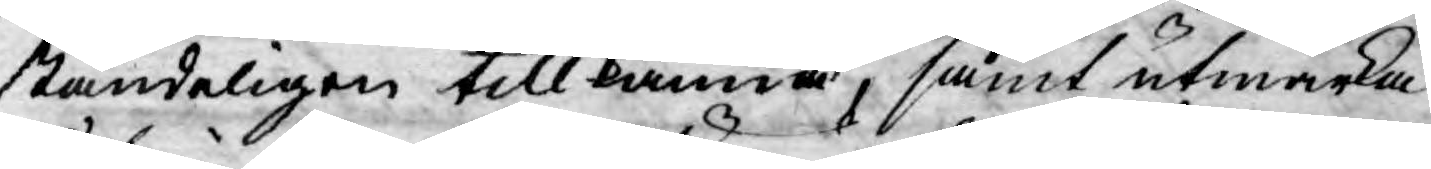ständeligen tillkänna, samt utwärka
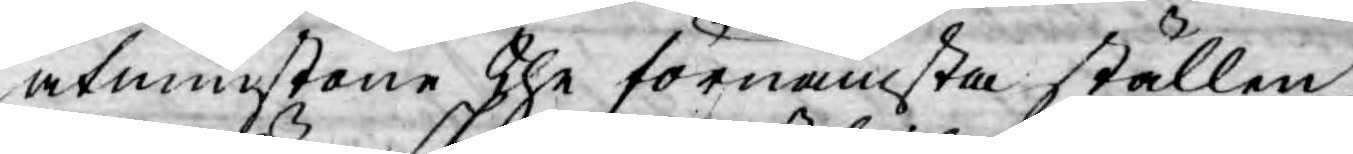åtminstone the förnämsta ställen
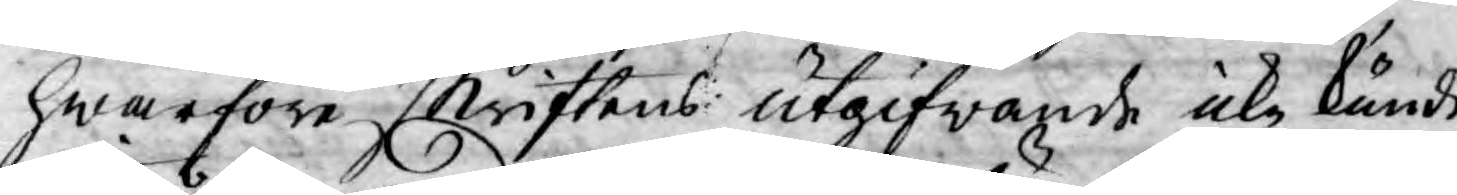hwarföre skriftens utgifwande icke kunde
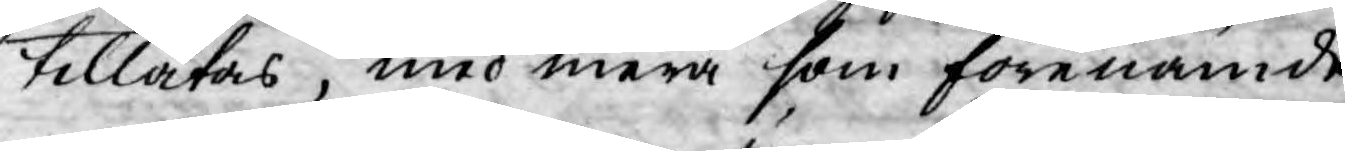tillåtas, med mera som förenämde
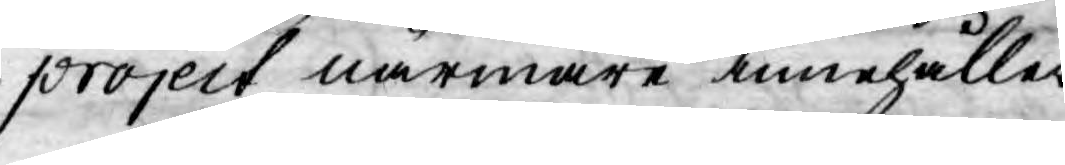project närmare innehåller.
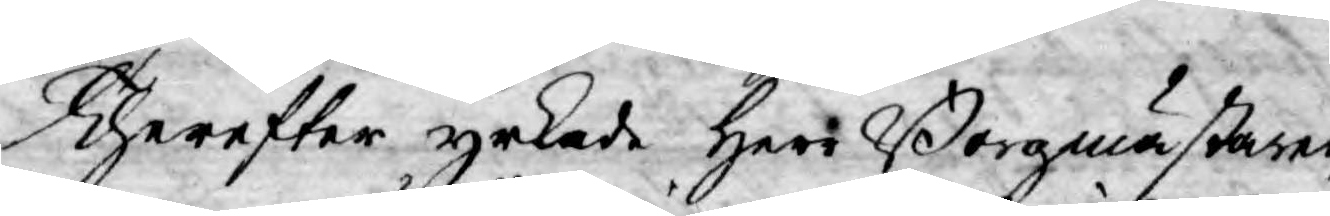Therefter yrkade Herr Borgmästaren
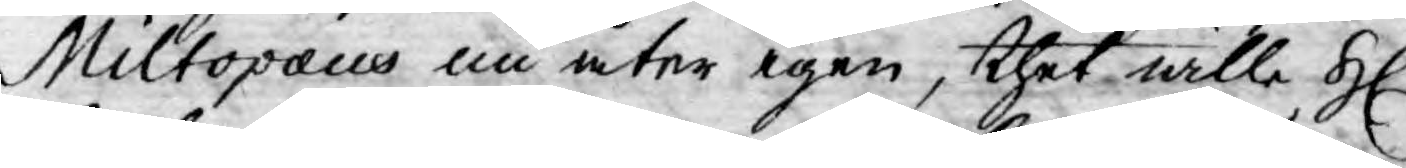Miltopæus nu åter igen, thet wille H.
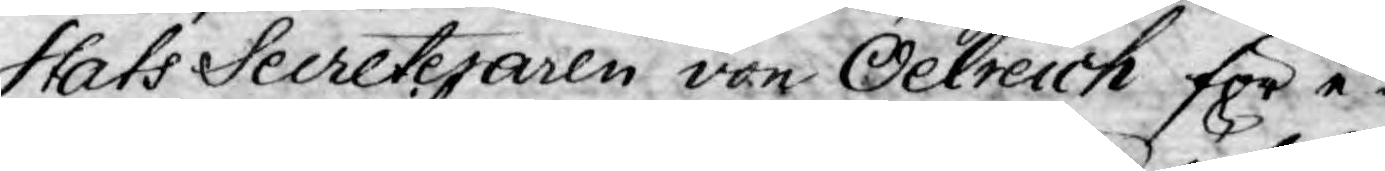Stats Secreteraren von Oelreich för e¬
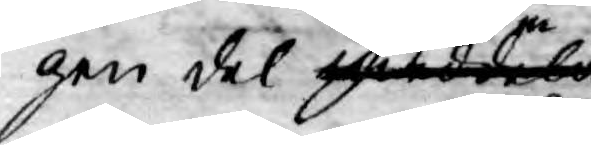gen del meddela
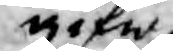gifwa
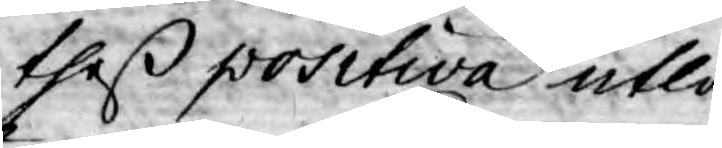theß positiva utlå¬
